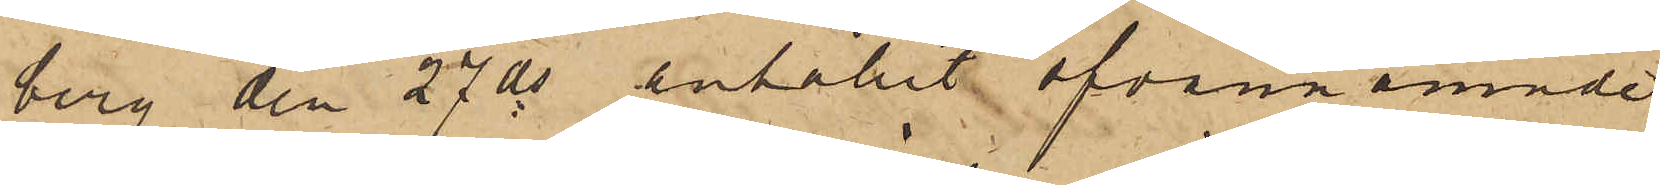berg den 27 ds anhållit ofvannämnde
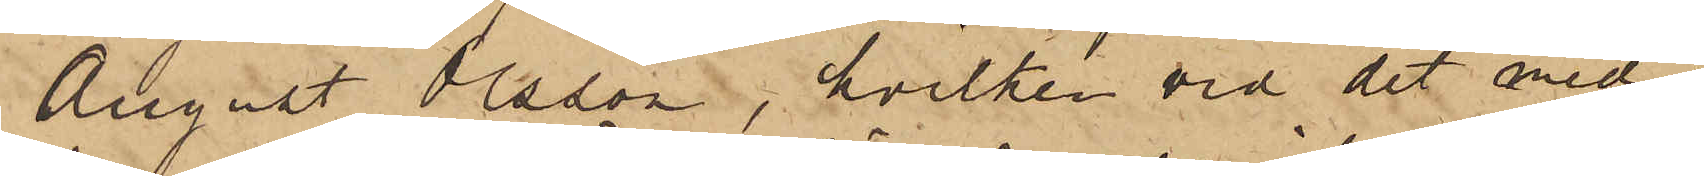August Olsson, hvilken vid det med
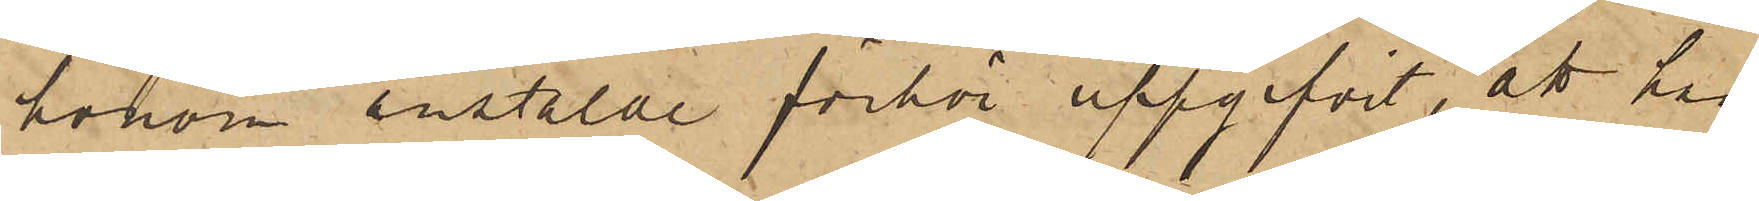honom anstäldt förhör uppgifvit, att han,
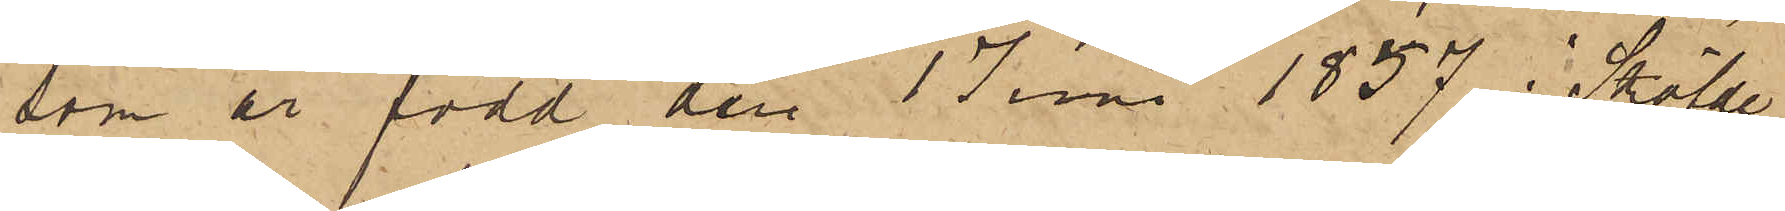som är född den 1 Juni 1857 i Sköfde
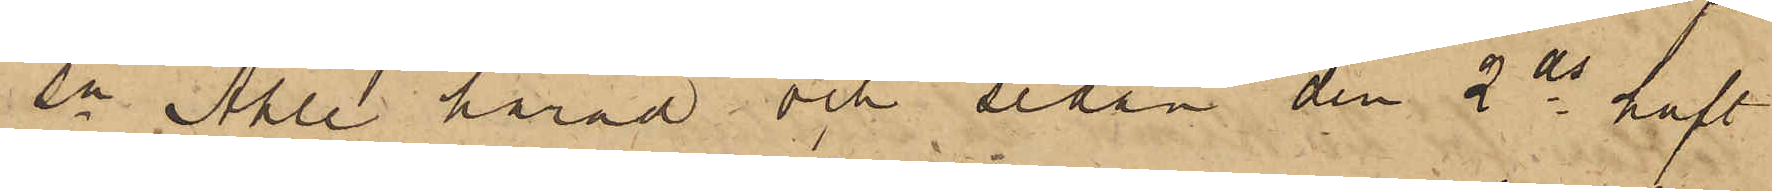Sn Ahle härad och sedan den 2 ds haft
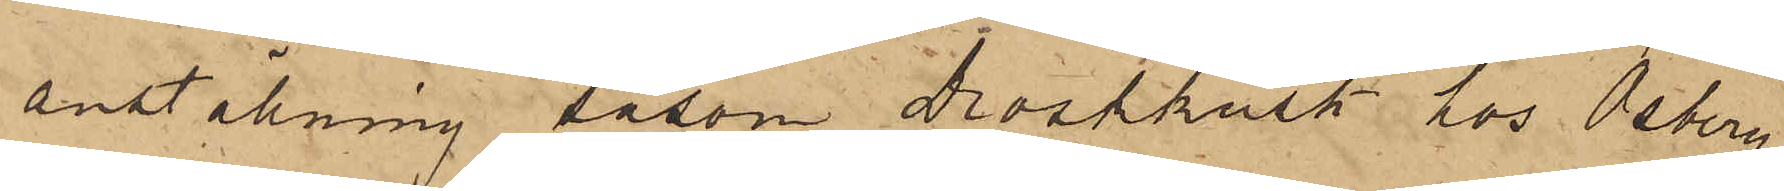anställning såsom Droskkust hos Osberg,
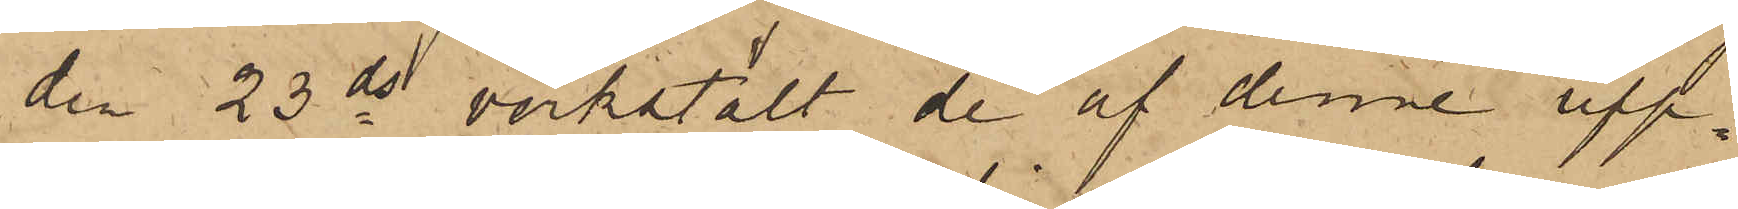den 23 ds verkstält de af denne upp¬
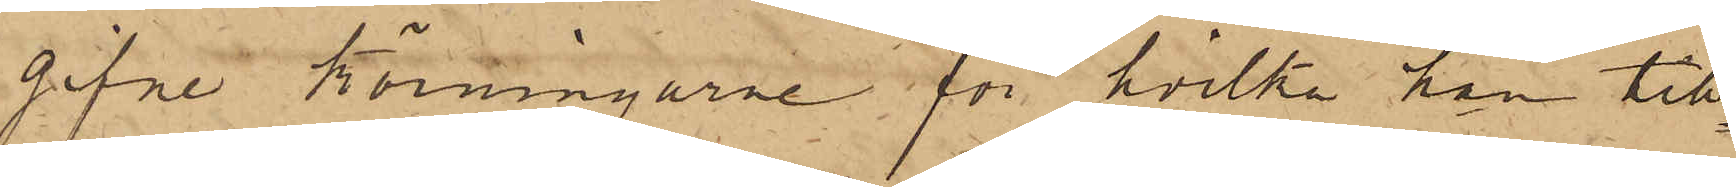gifne körningarne för hvilka han till¬
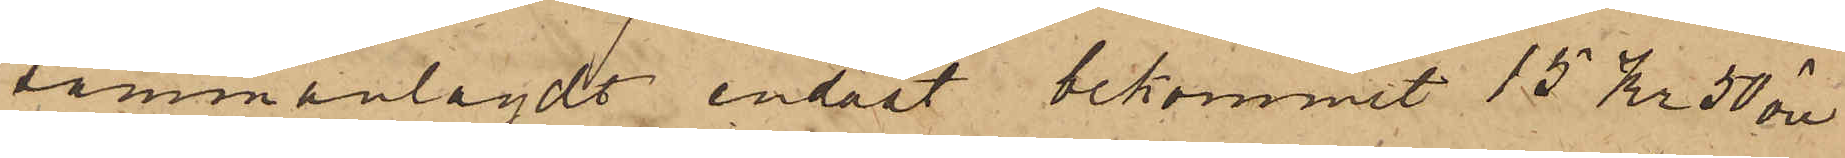sammanlagdt endast bekommit 15 kr 50 öre,
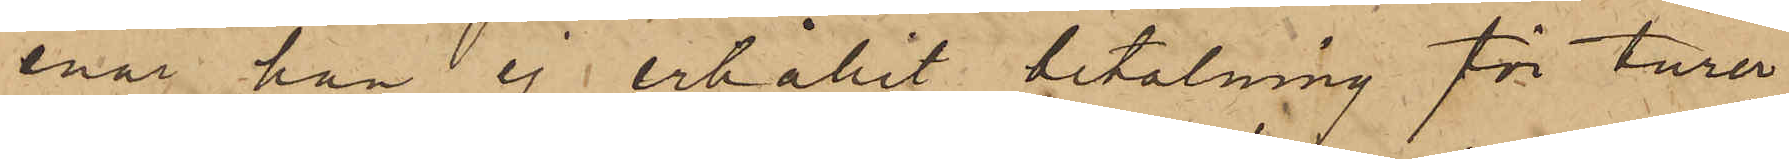enär han ej erhållit betalning för turer¬
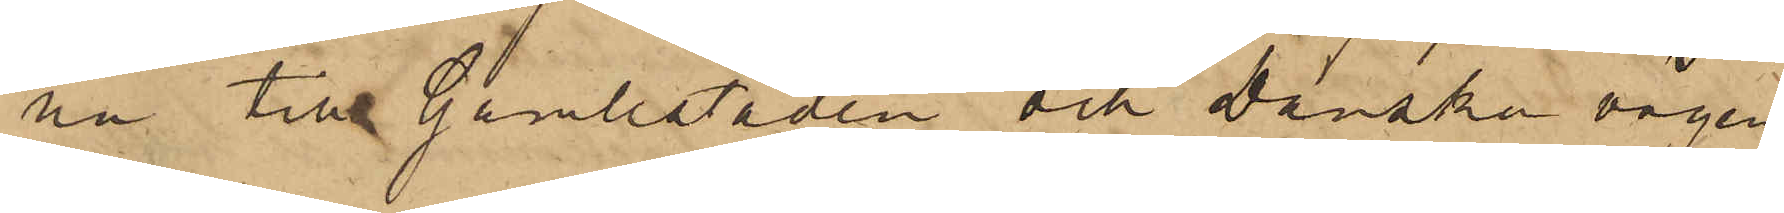na till Gamlestaden och Danska vägen
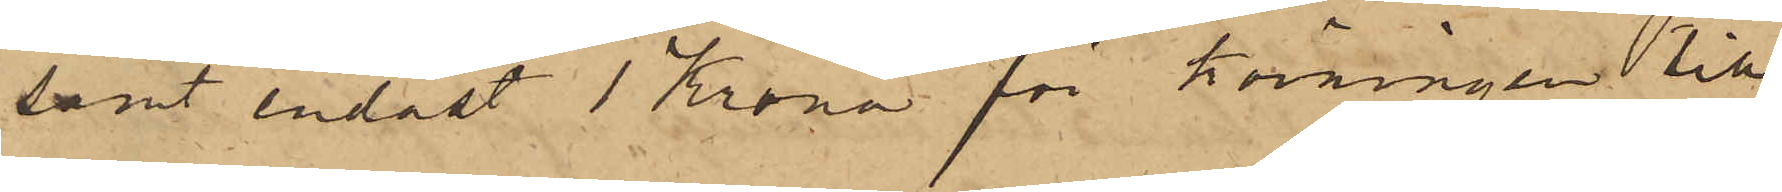samt endast 1 Krona för körningen till
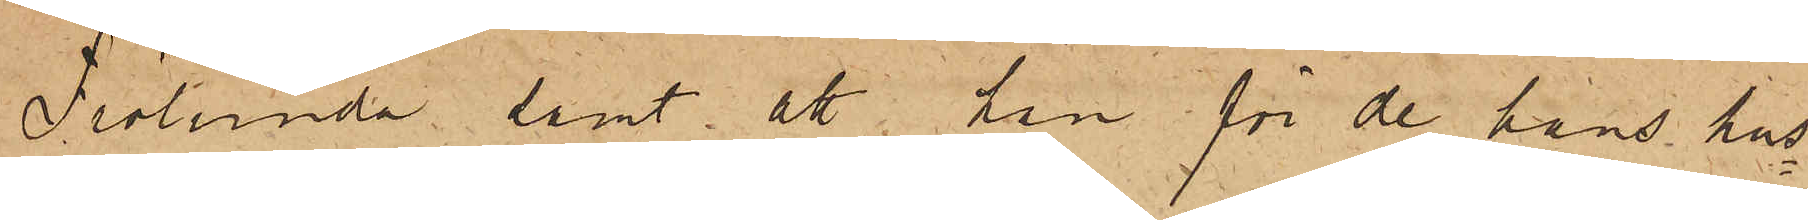Frölunda samt att han för de hans hus¬
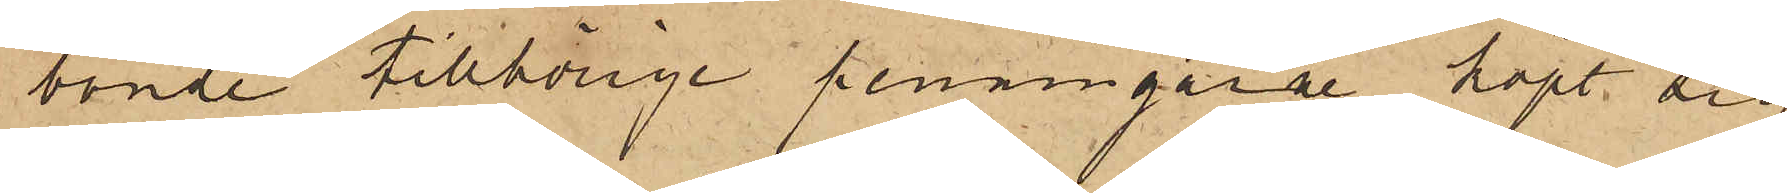bonde tillhörige penningarne köpt sig
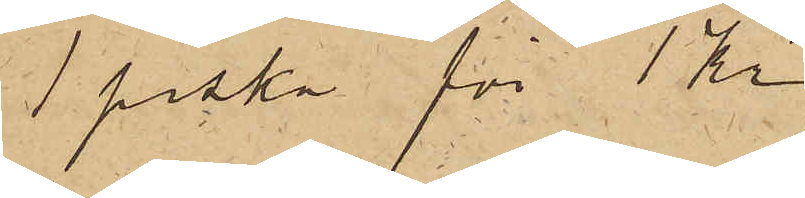1 piska för 1 kr
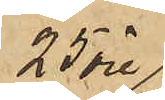25 öre
